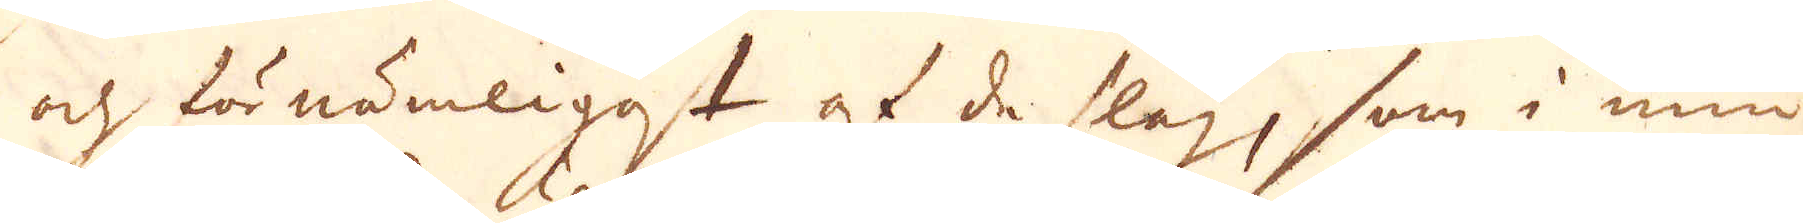och för nämligast af de slag, som i min
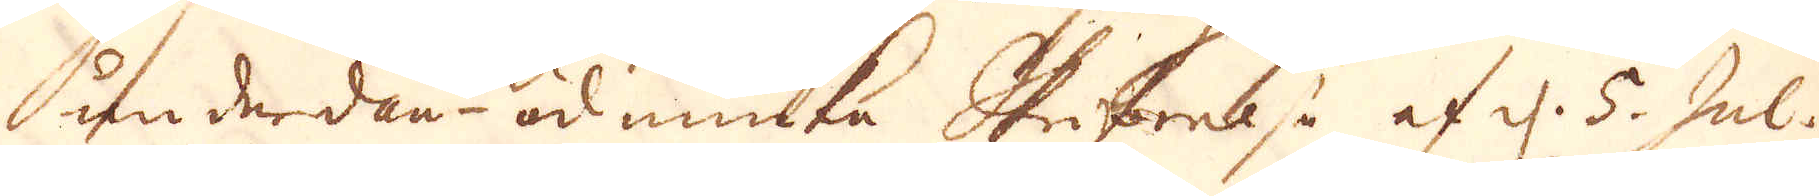underdån- ödmiuka Skrifwelse af d. 5. Jul.
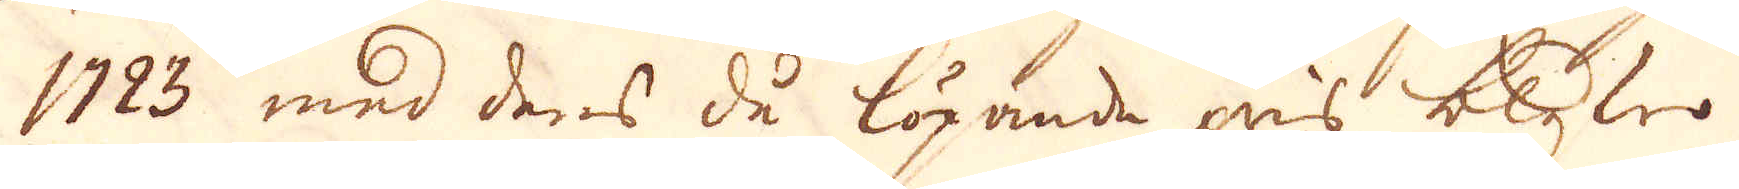1723 med deras då löpande pris blefwo
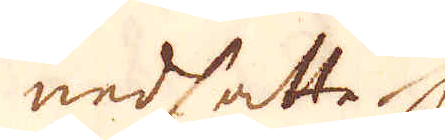nedsatte. 
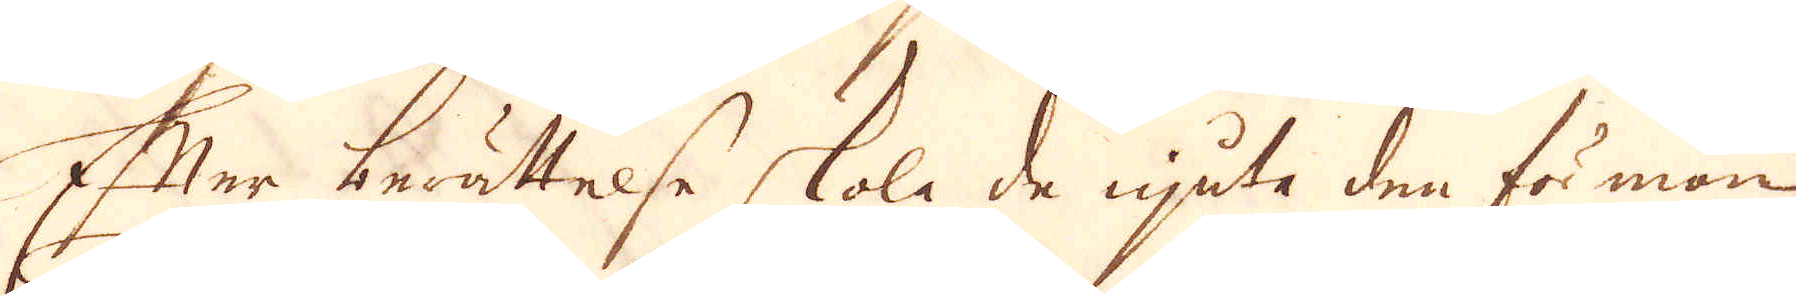Efter berättelse skola de njute den förmon
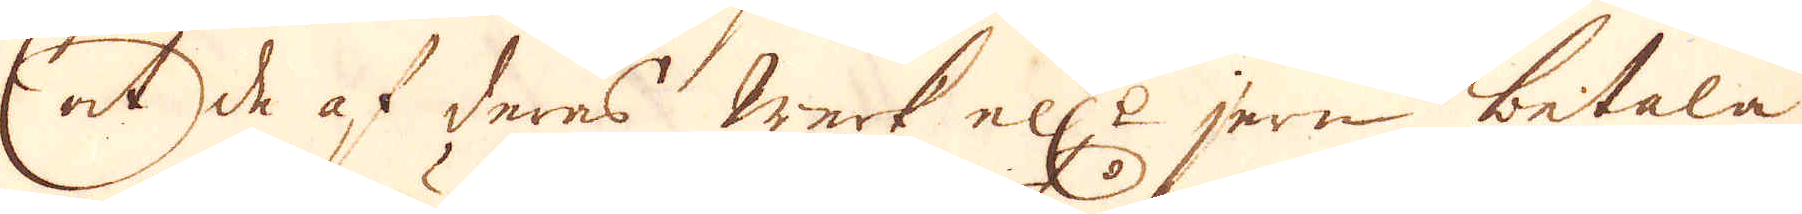et de af deras werk ell:r jern betala
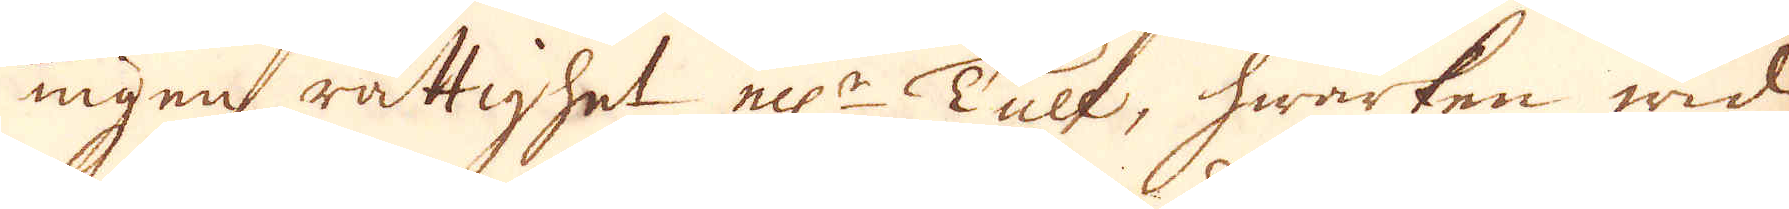ingen rättighet ell:r Tull, hwarken wid
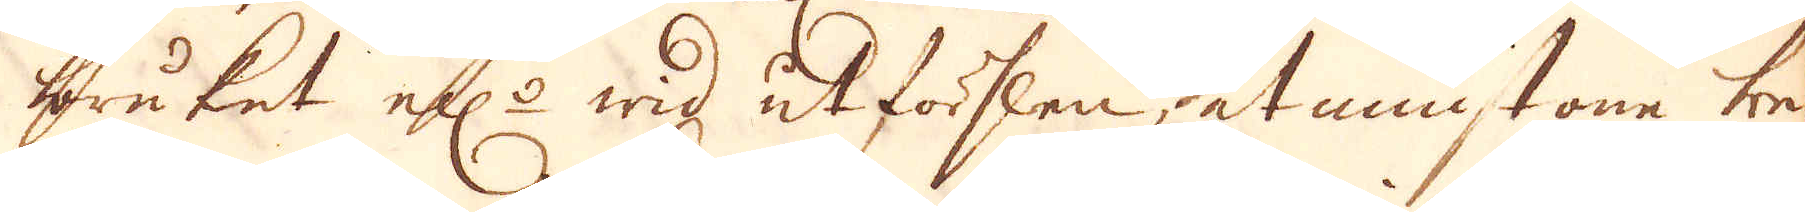bruket ell:r wid utförslen åtminstone be-
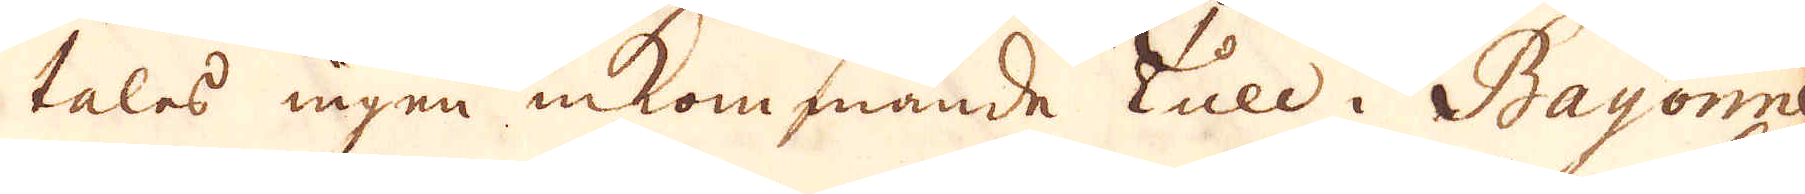talas ingen inkommande tull i Bayonne
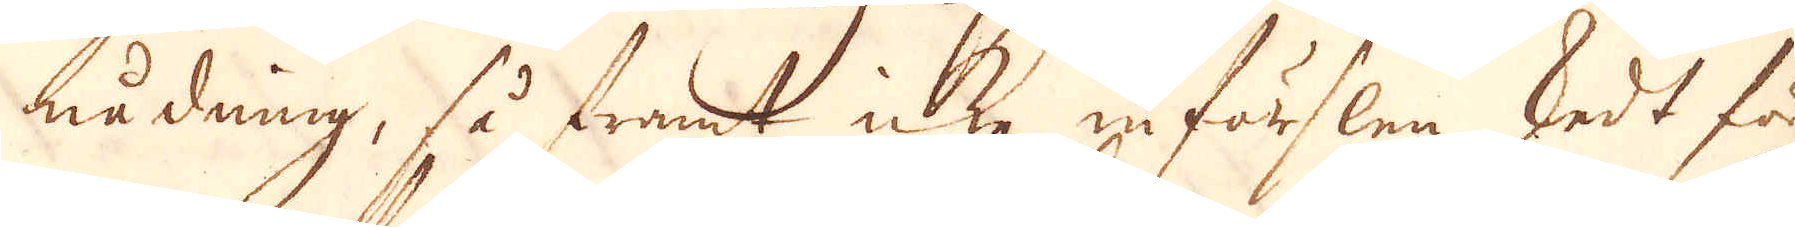nådning, så framt icke in förslen skedt för
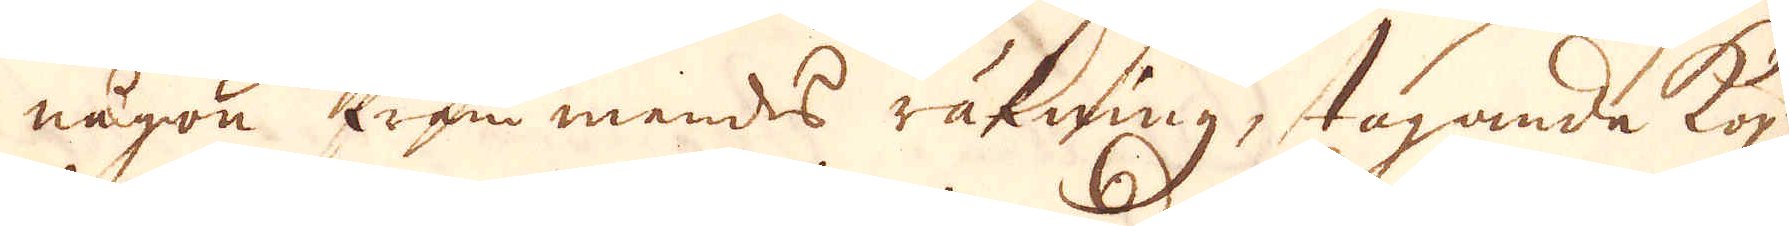någon främmendes räkning, tagande köp-
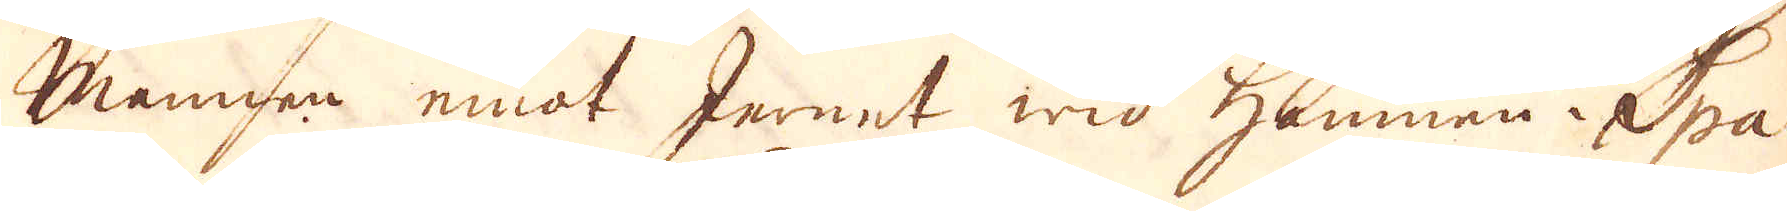Mannen emot Jernet wid Hamnen i Spa-
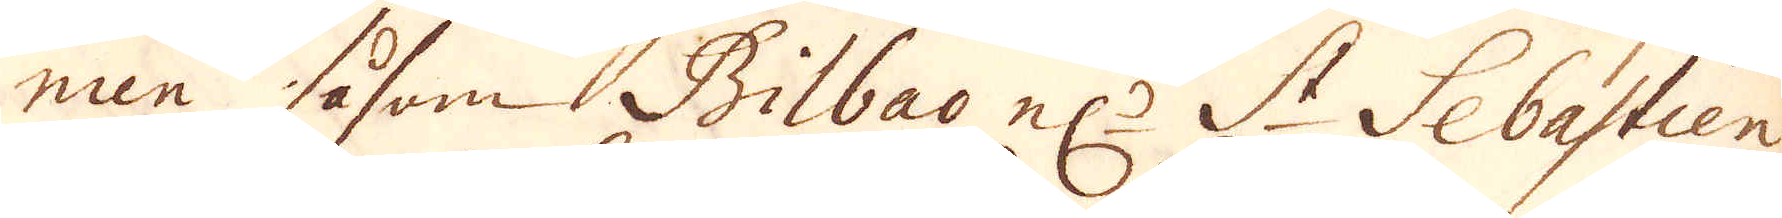nen såsom Bilbao el:r St Sebastien
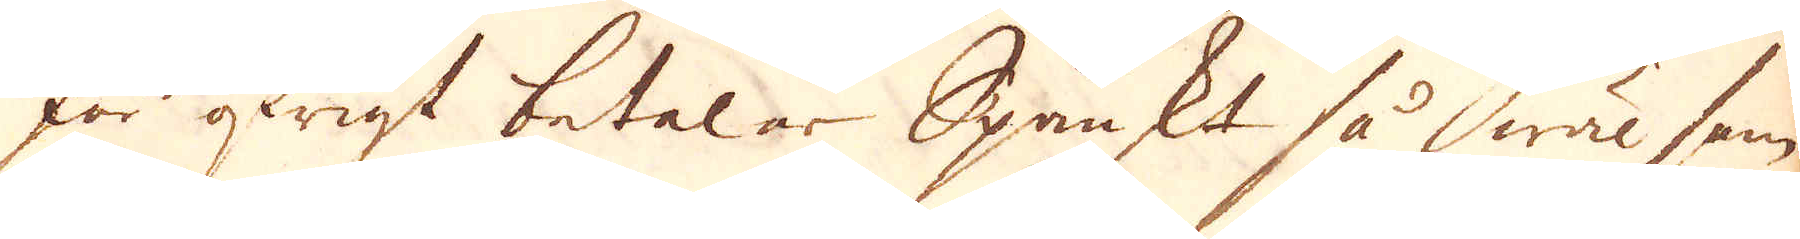för öwigt betalar Spanskt så wäl som
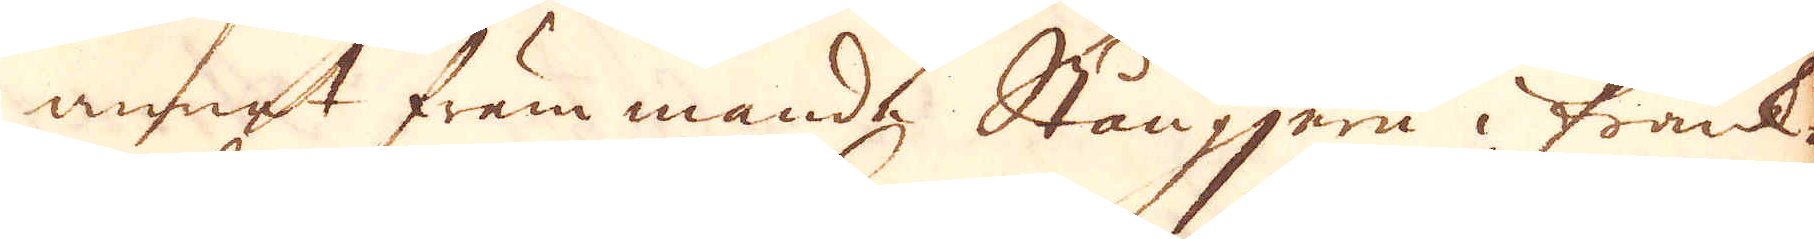annat främmande Stångjern i Frank-
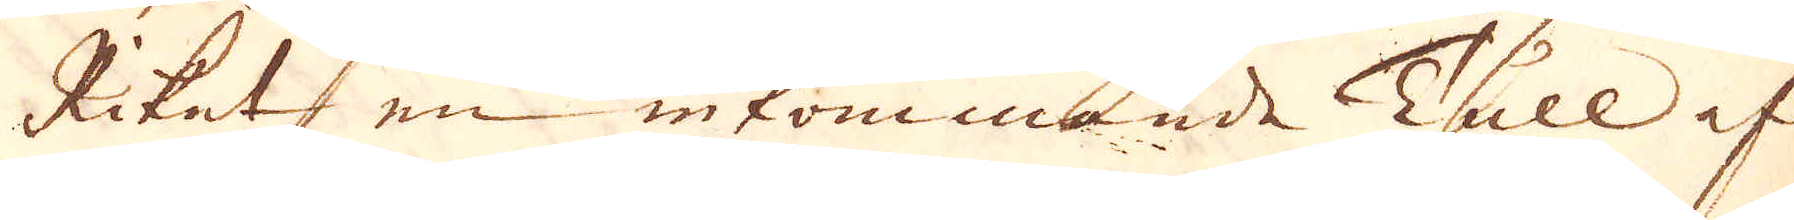Riket en inkommande Tull af
